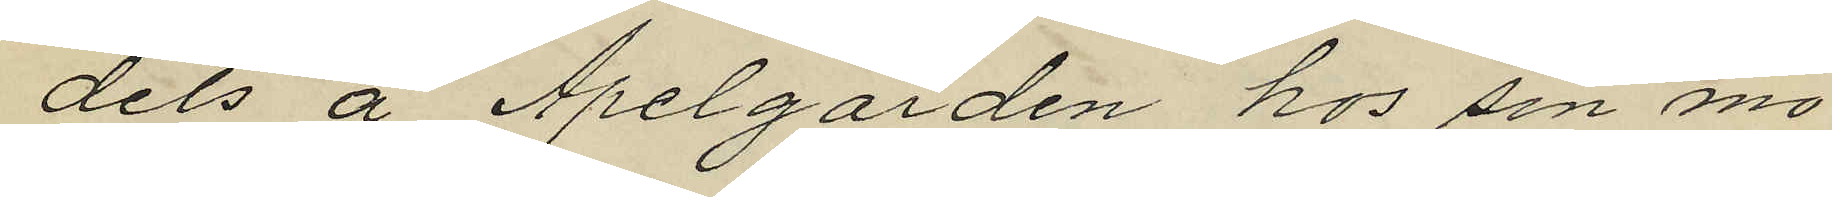dels å Apelgården hos sin mo¬
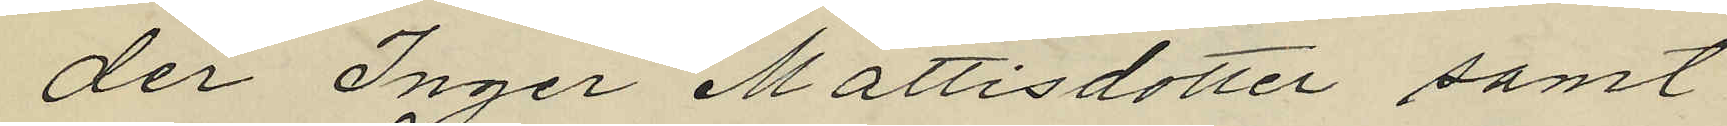der Inger Mattisdotter samt
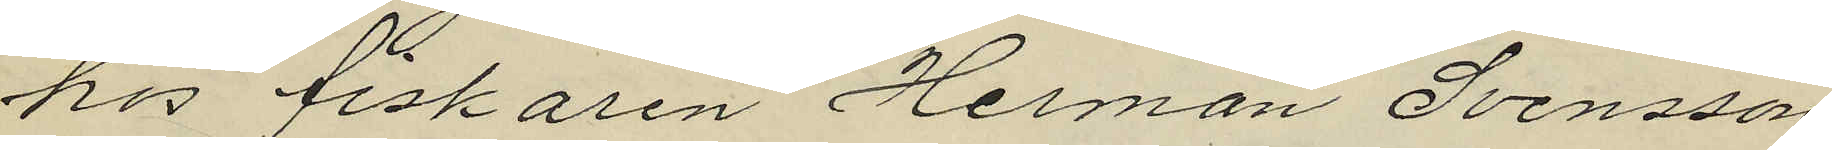hos fiskaren Herman Svensson
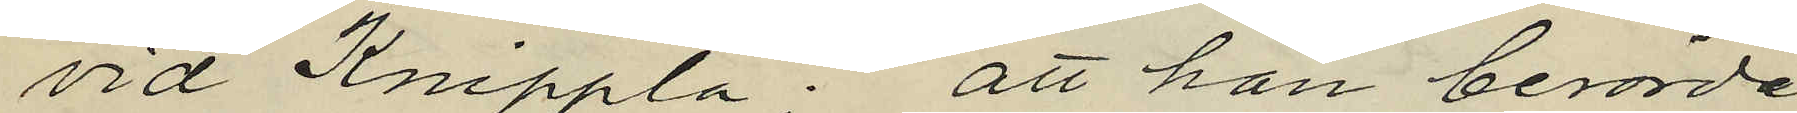vid Knippla: att han berörde
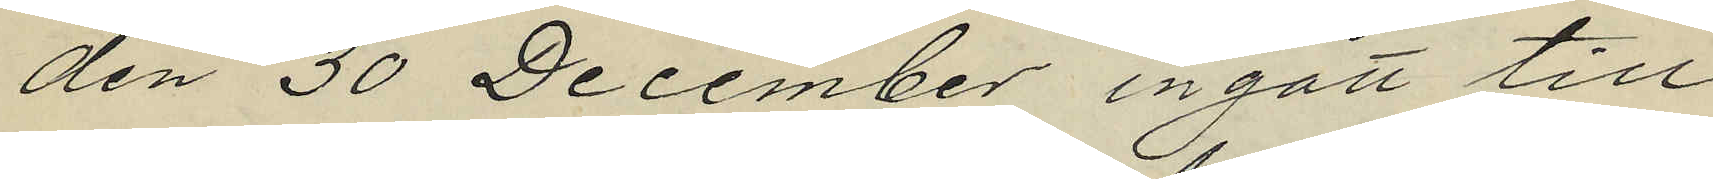den 30 December ingått till
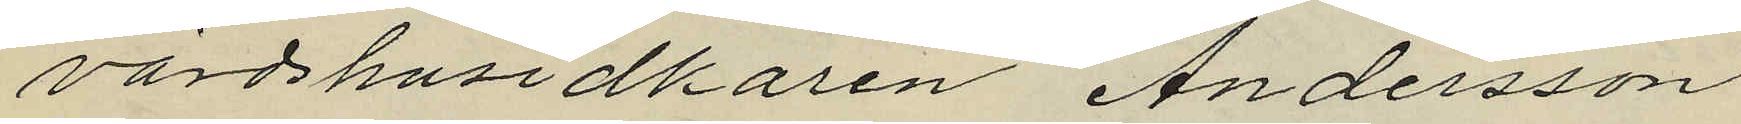värdshusidkaren Andersson
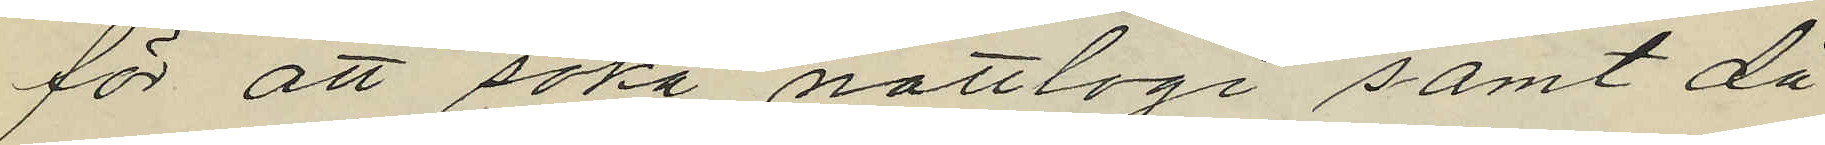för att söka nattlogi samt då
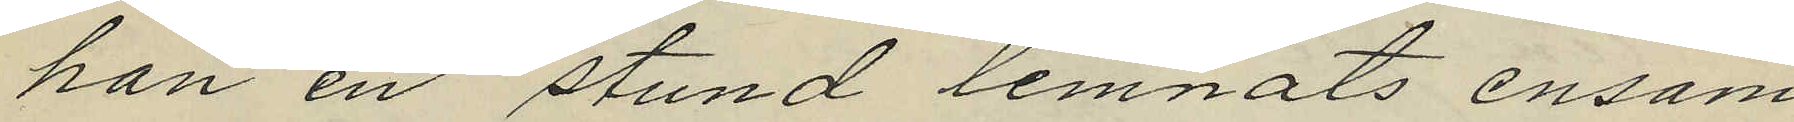han en stund lemnats ensam
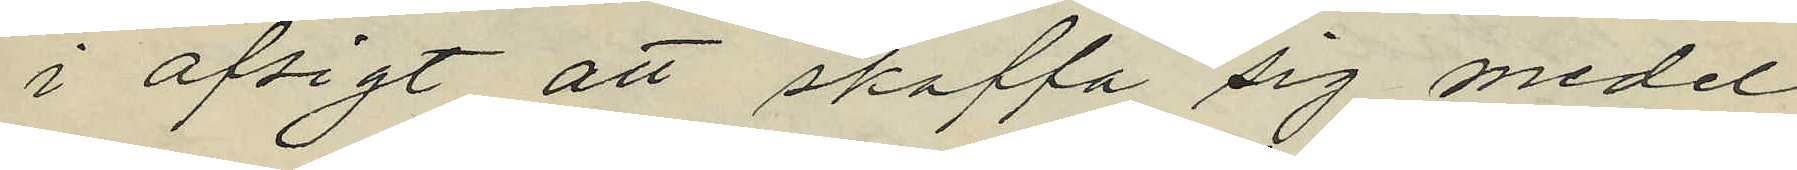i afsigt att skaffa sig medel
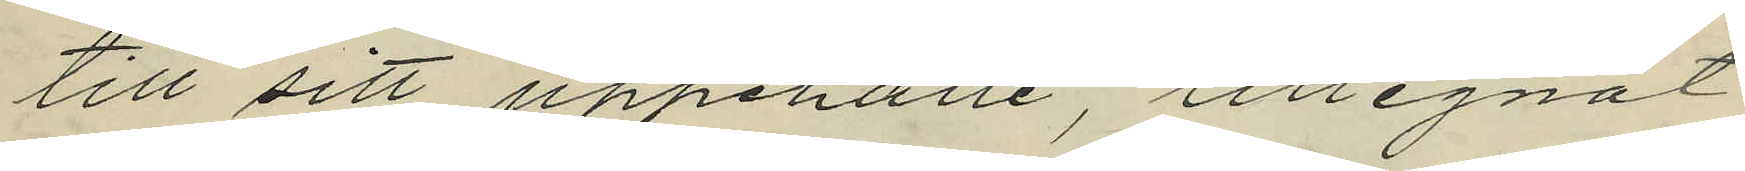till sitt uppehälle, tillegnat
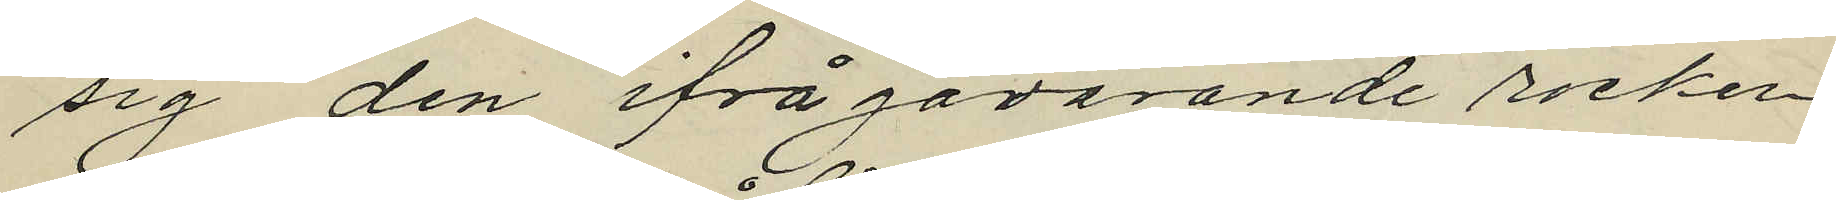sig den ifrågavarande rocken
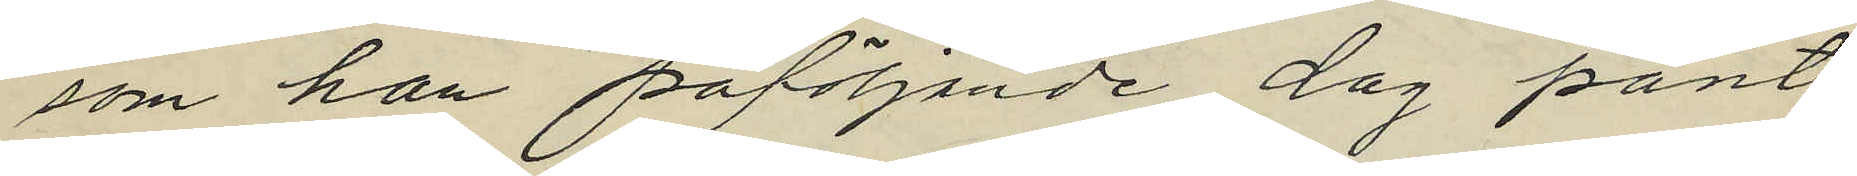som han påföljande dag pant¬
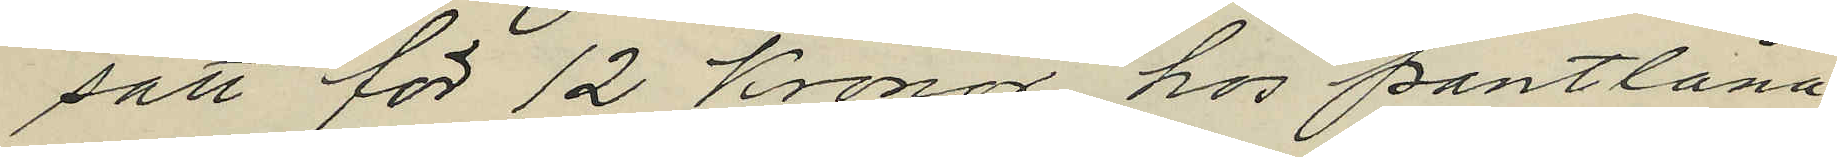satt för 12 Kronor hos pantlåna¬
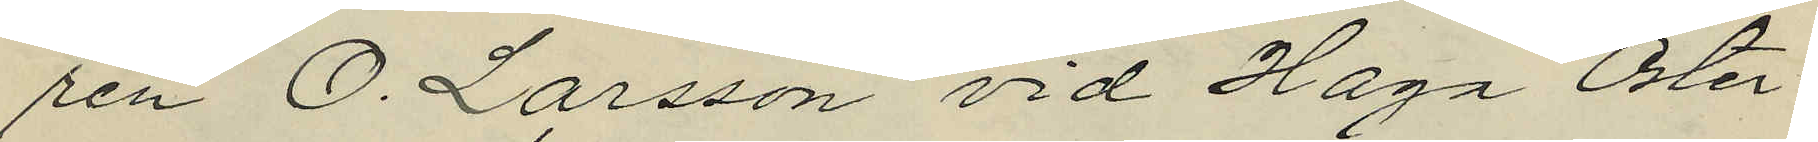ren O. Larsson vid Haga Öster¬
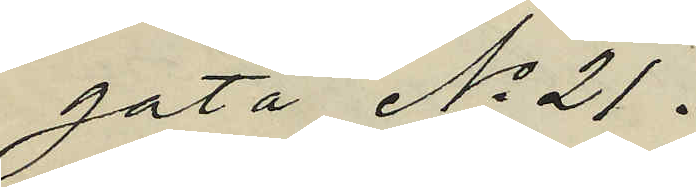gata No 21.
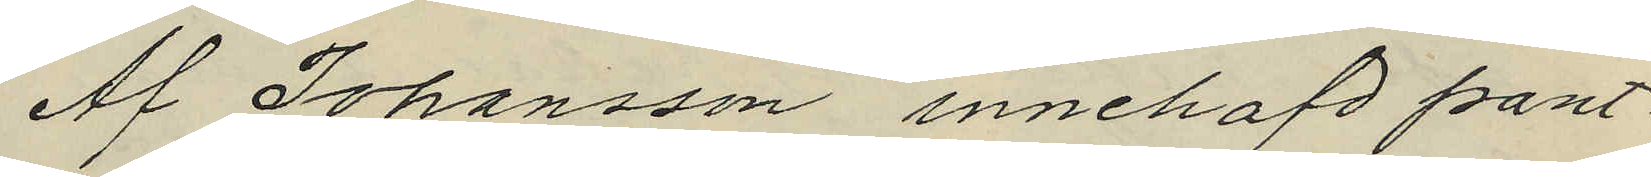Af Johansson innehafd pant¬
